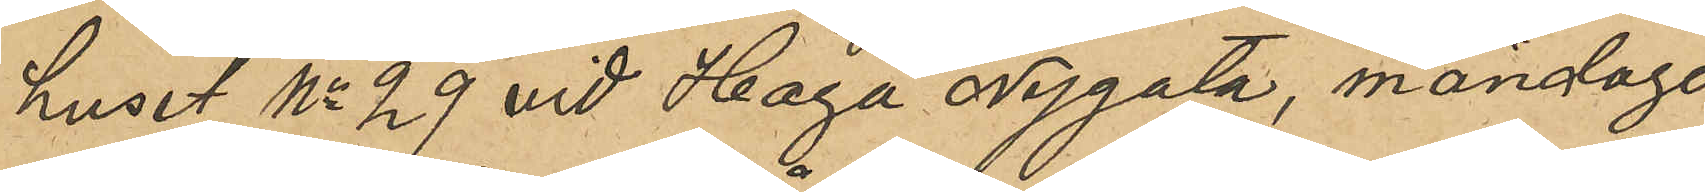huset No 29 vid Haga Nygata, måndagen
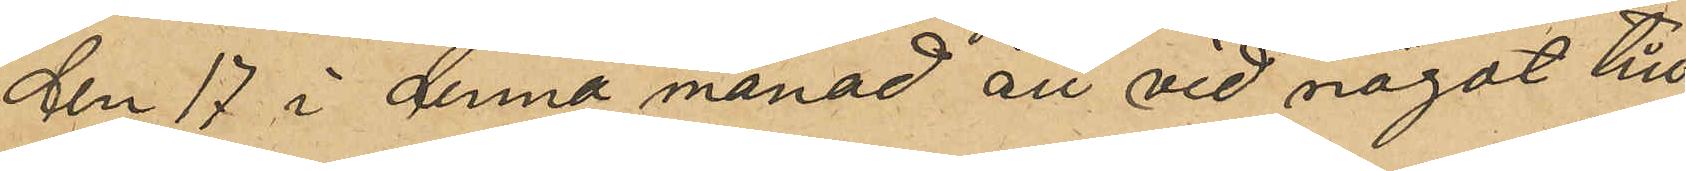den 17 i denna månad att vid något till¬
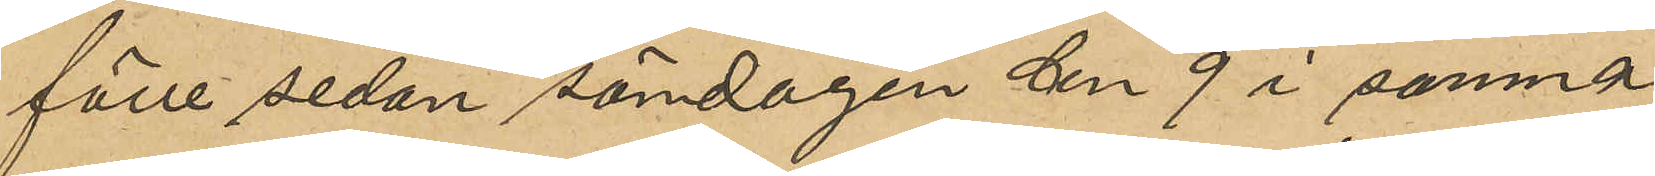fälle sedan söndagen den 9 i samma
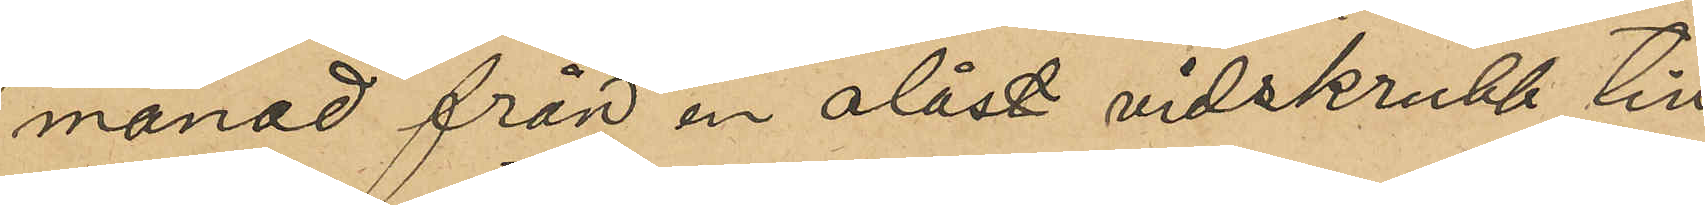månad från en olåst vidskrubb till
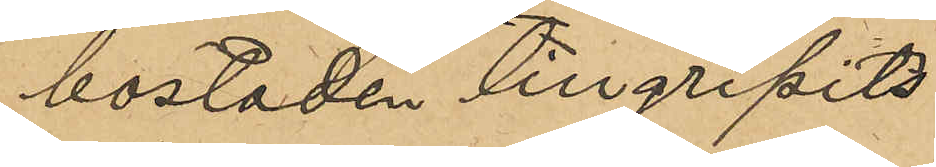bostaden tillgripits.
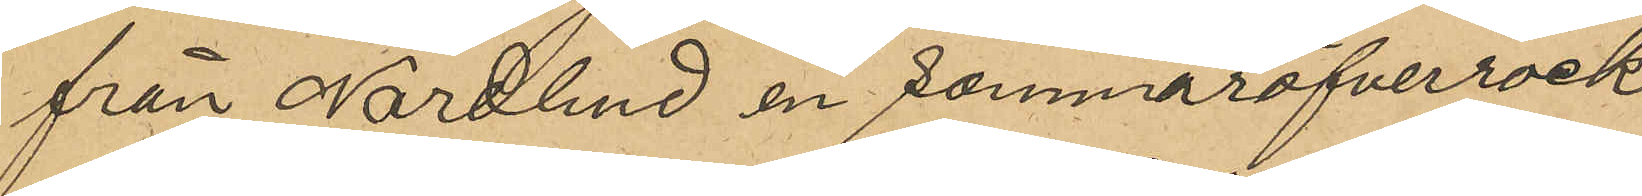från Nordlund en sommaröfverrock
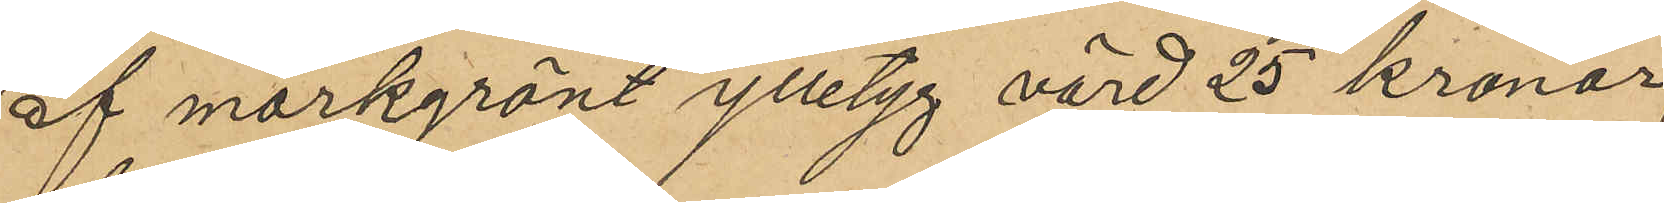af mörkgrönt ylletyg värd 25 kronor,
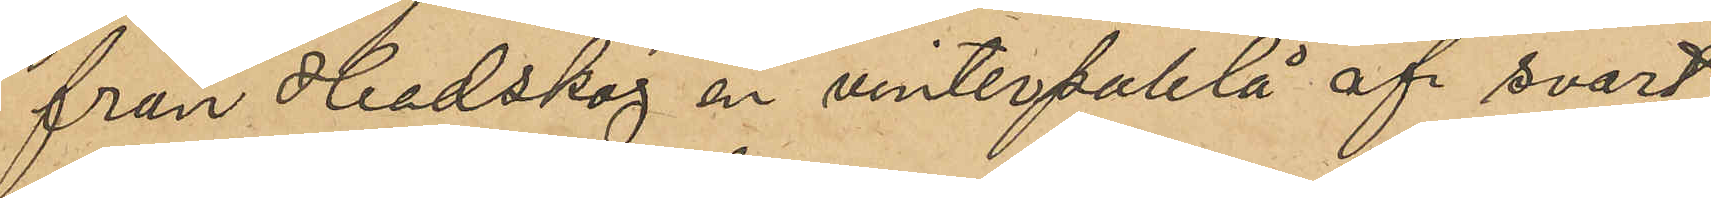från Hedskog en vinterpaletå af svart
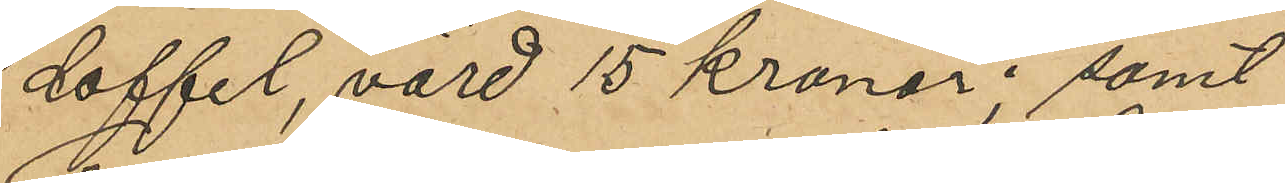doffel, värd 15 kronor; samt
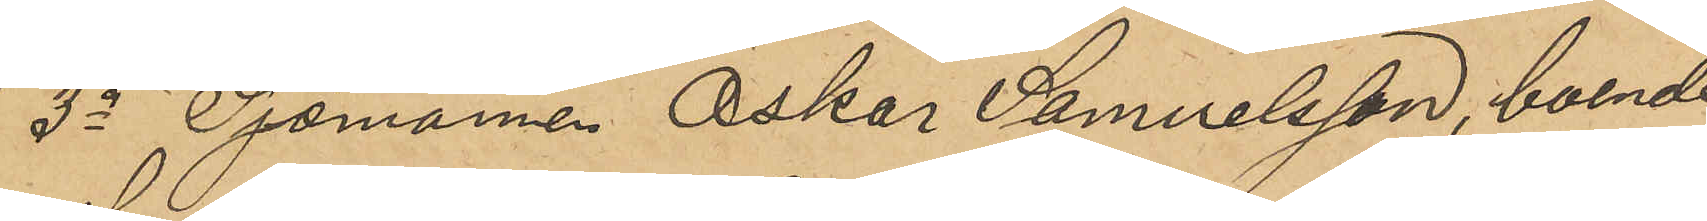3o Sjömannen Oskar Samuelsson, boende
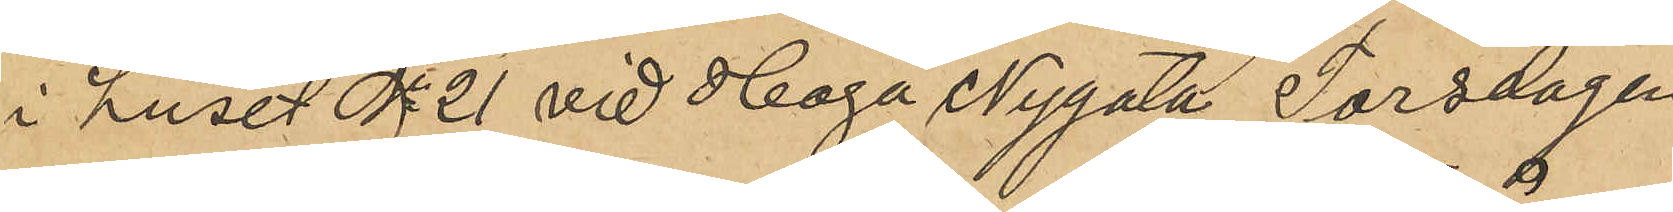i huset No 21 vid Haga Nygata Torsdagen
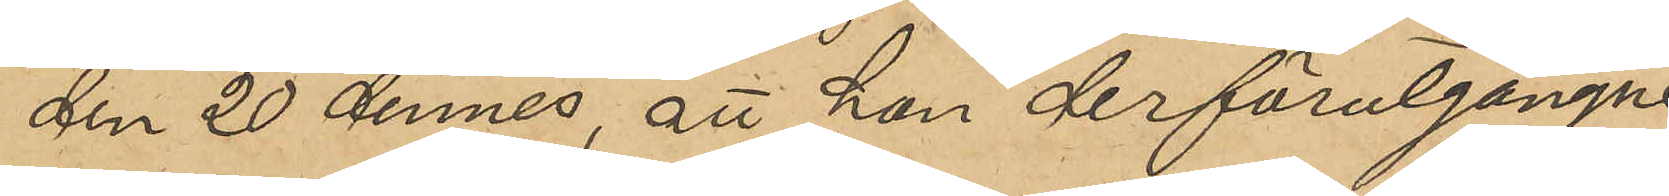den 20 dennes, att han derförutgångne
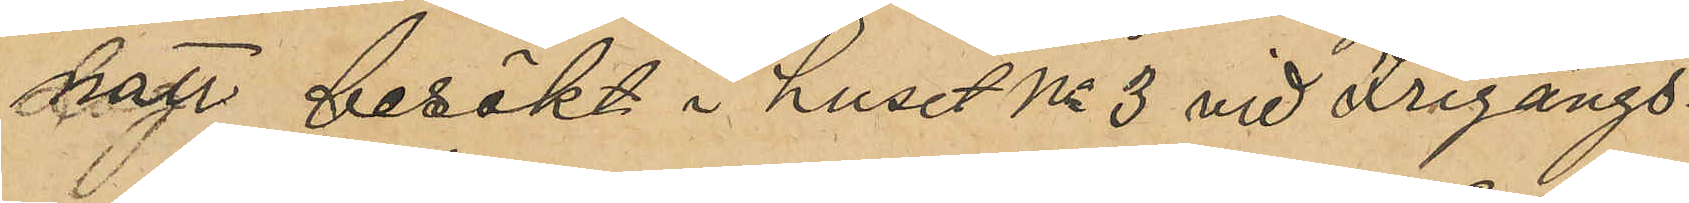natt besökt i huset No 3 vid Frigångs¬
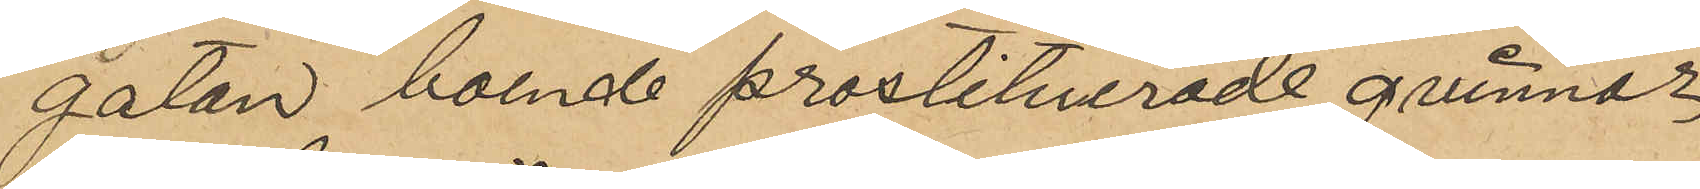gatan boende prostituerade qvinnor,
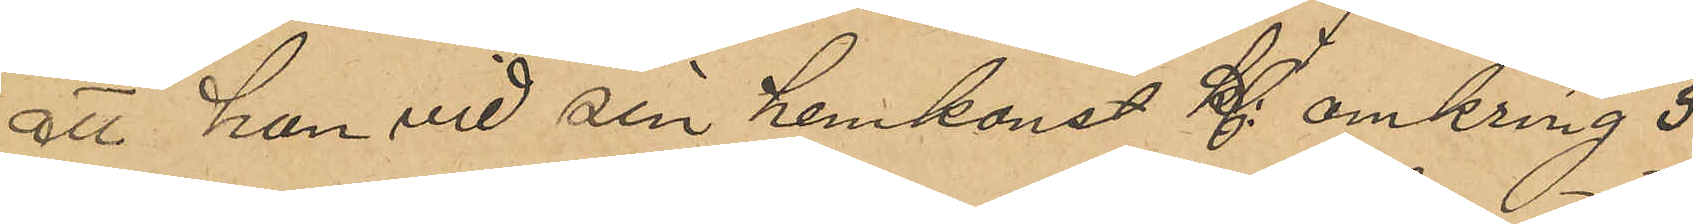att han vid sin hemkomst Kl omkring 3
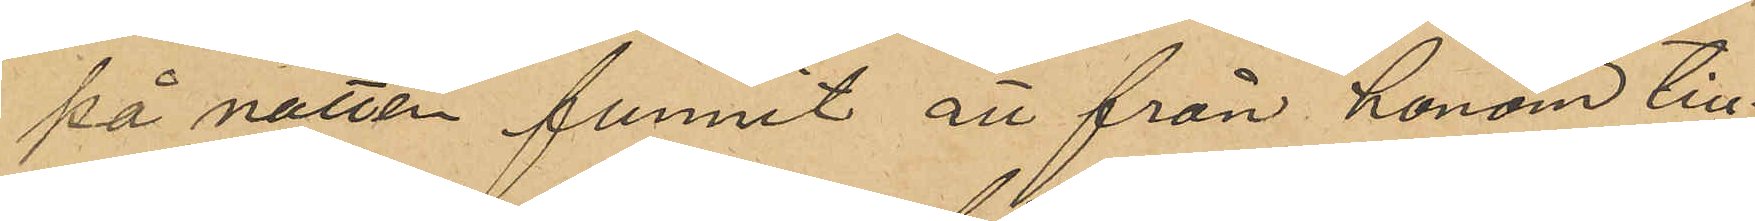på natten funnit att från honom till¬
